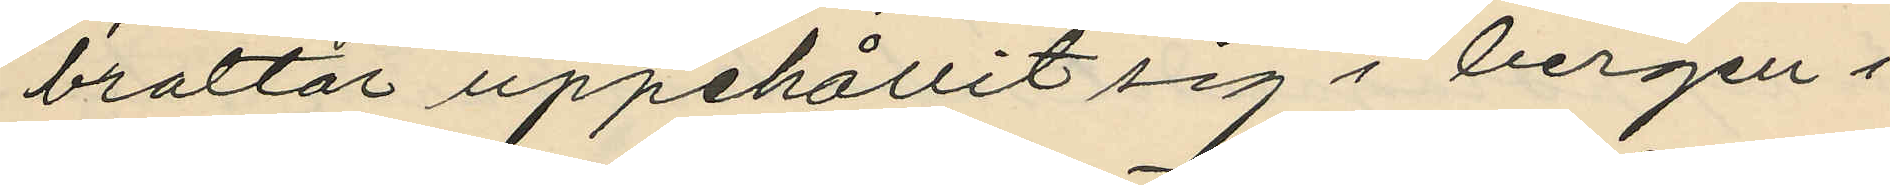braltar uppehållit sig i bergen i
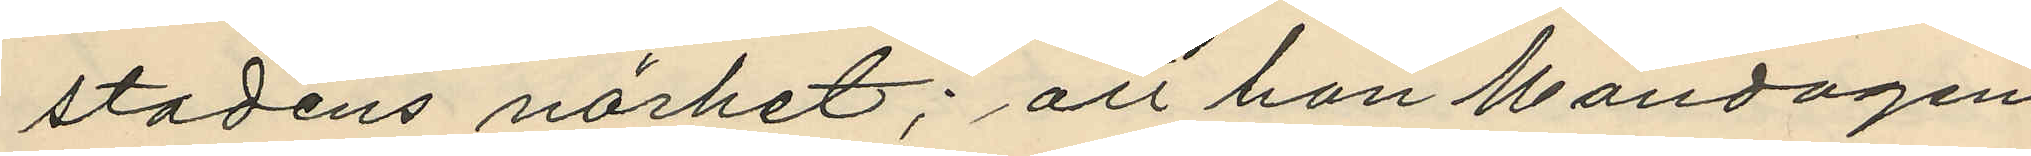stadens närhet; att han Måndagen
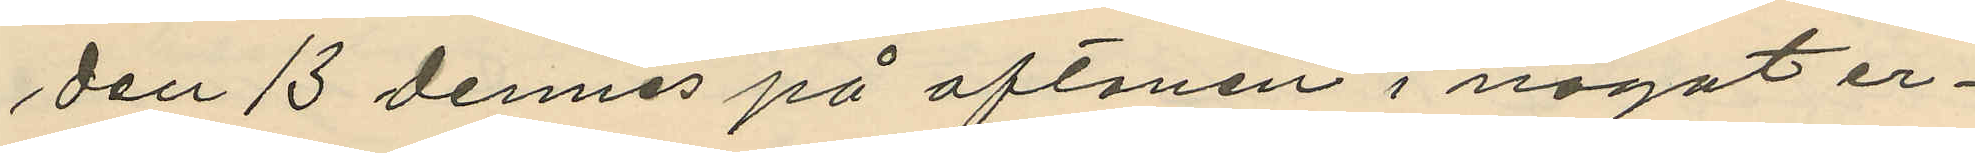den 13 dennes på aftonen i något er¬
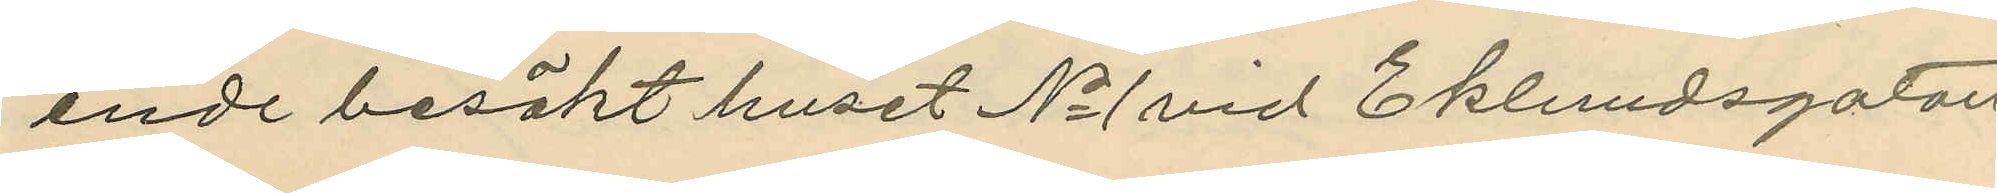ende besökt huset No 1 vid Eklundsgatan
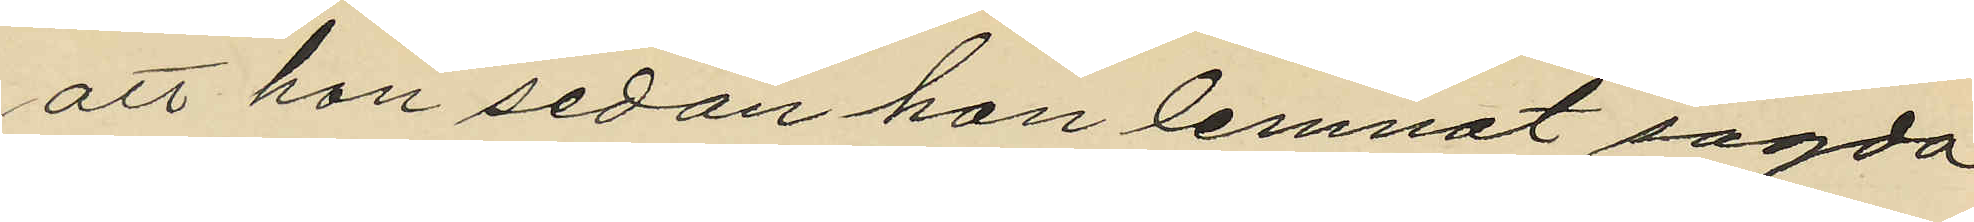att han sedan han lemnat sagda
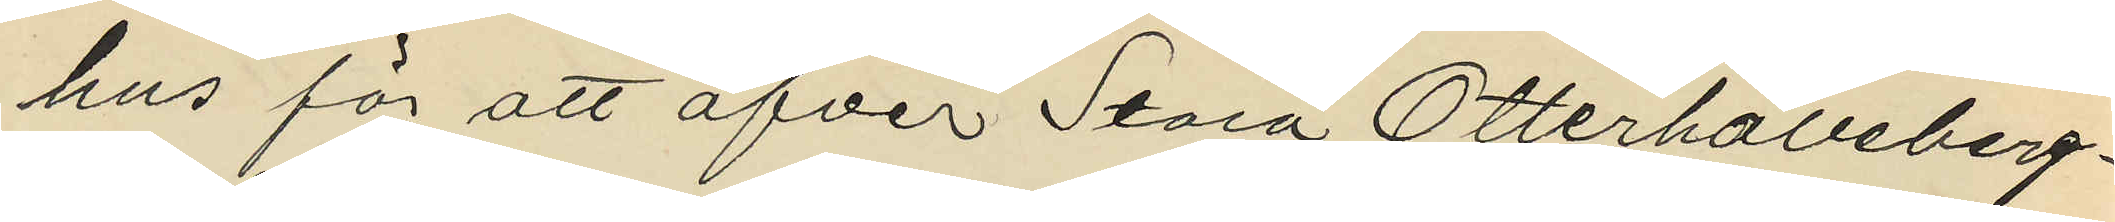hus för att öfver Stora Otterhälleberg¬
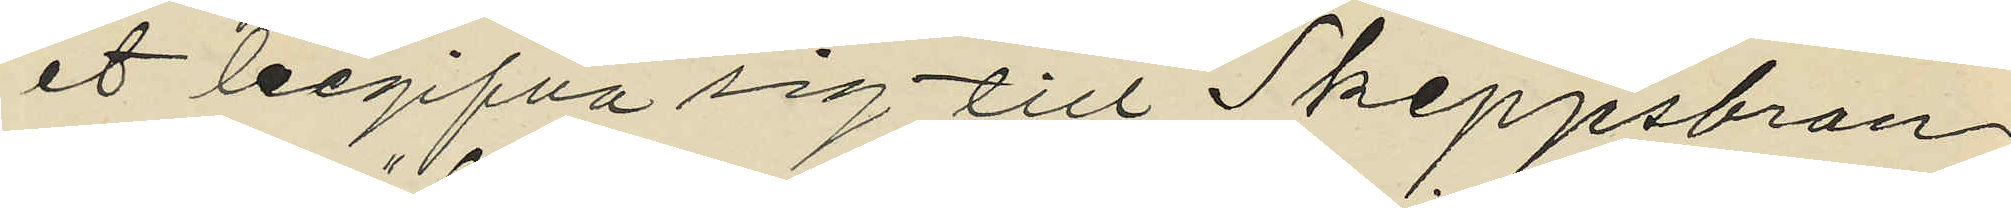et begifva sig till Skeppsbron
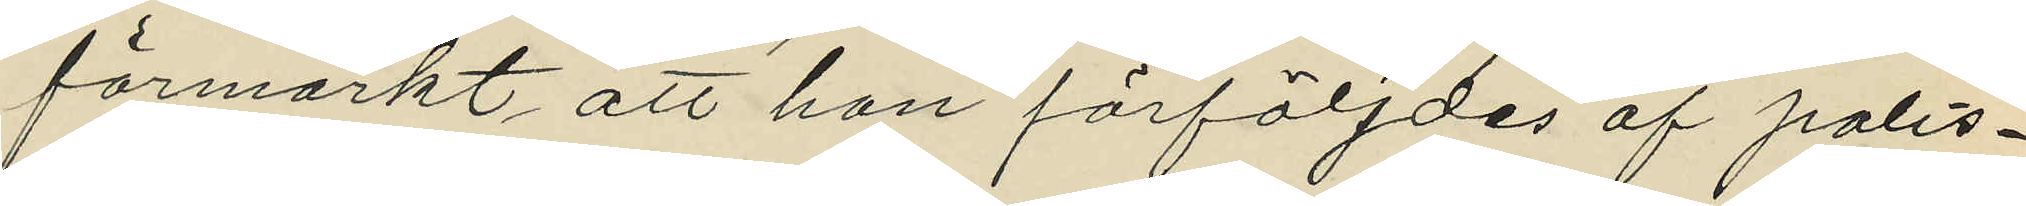förmärkt att han förföljdes af polis¬
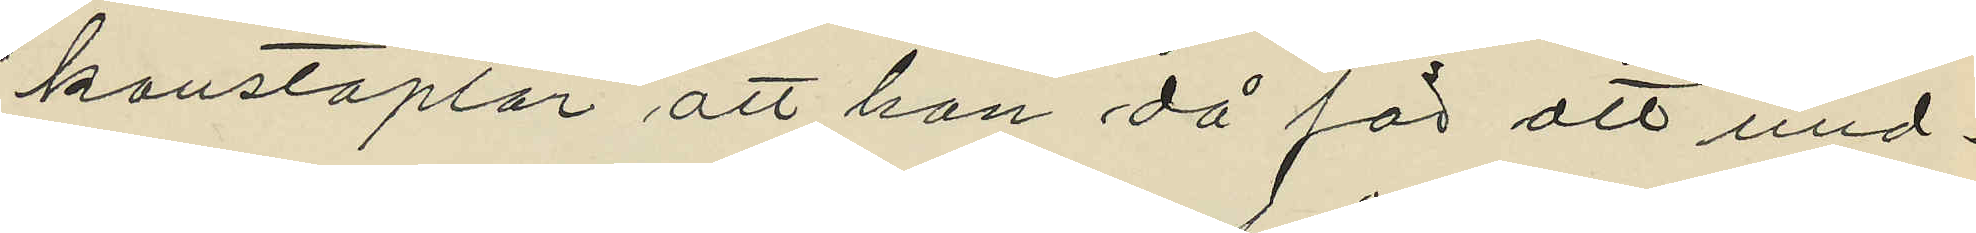konstaplar att han då för att und¬
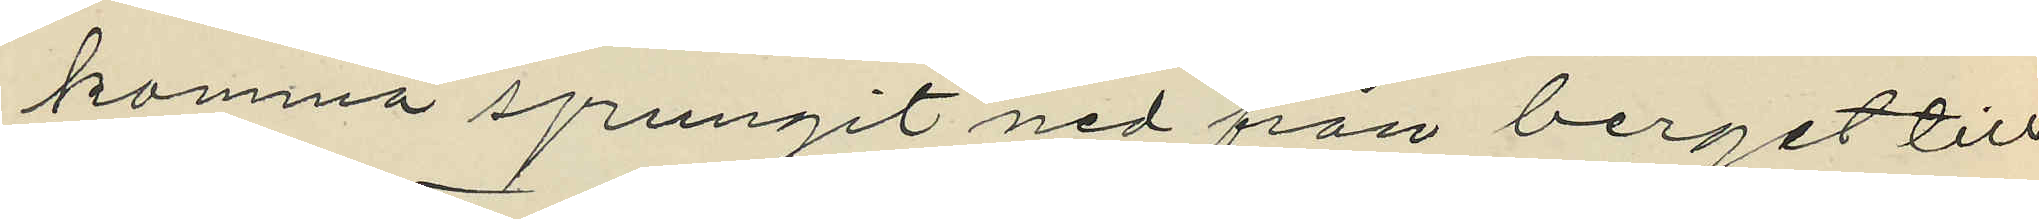komma sprungit ned fån berget till
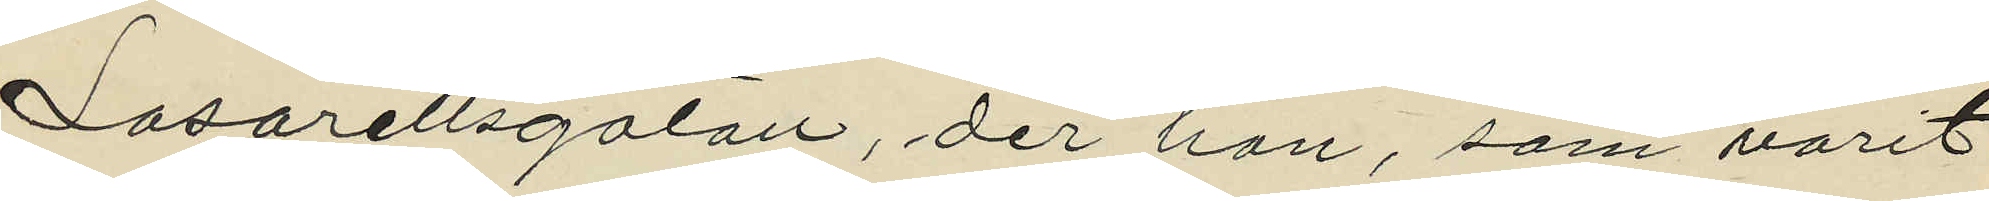Lasarettsgatan, der han, som varit
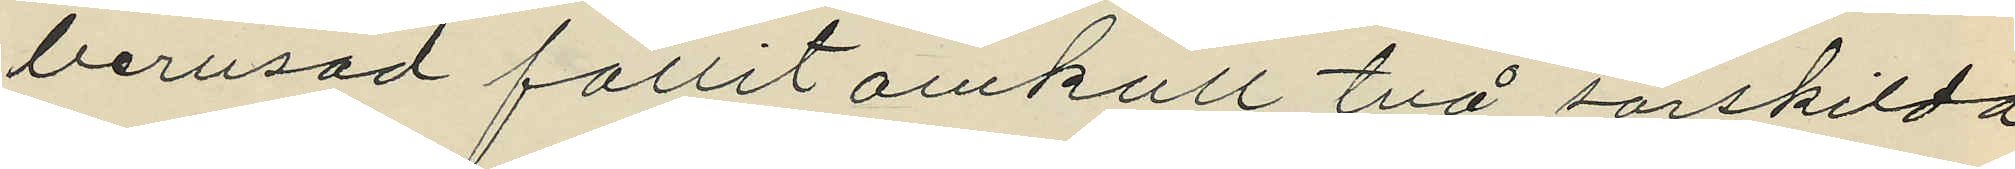berusad fallit omkull två särskilda
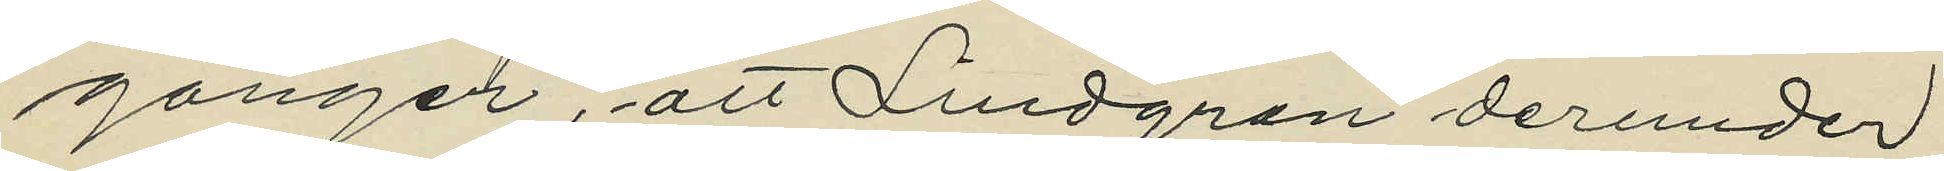gånger, att Lindgren derunder
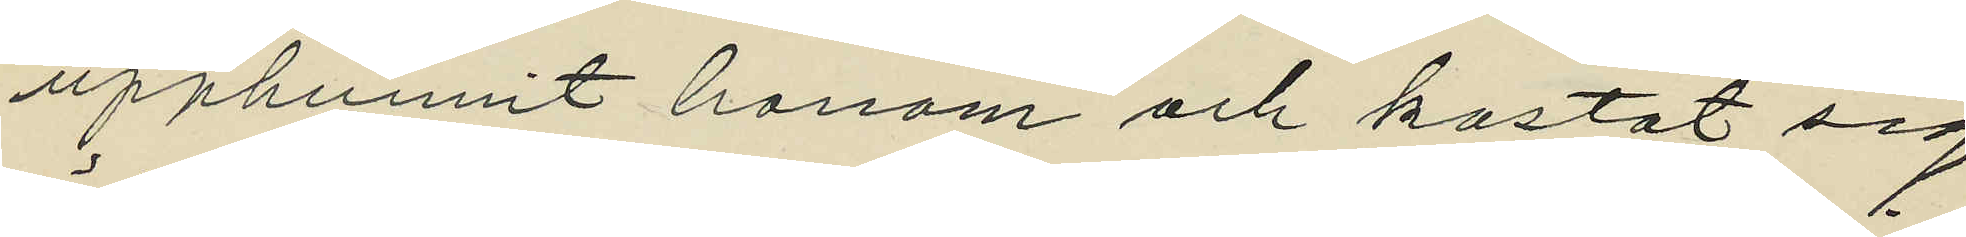upphunnit honom och kastat sig
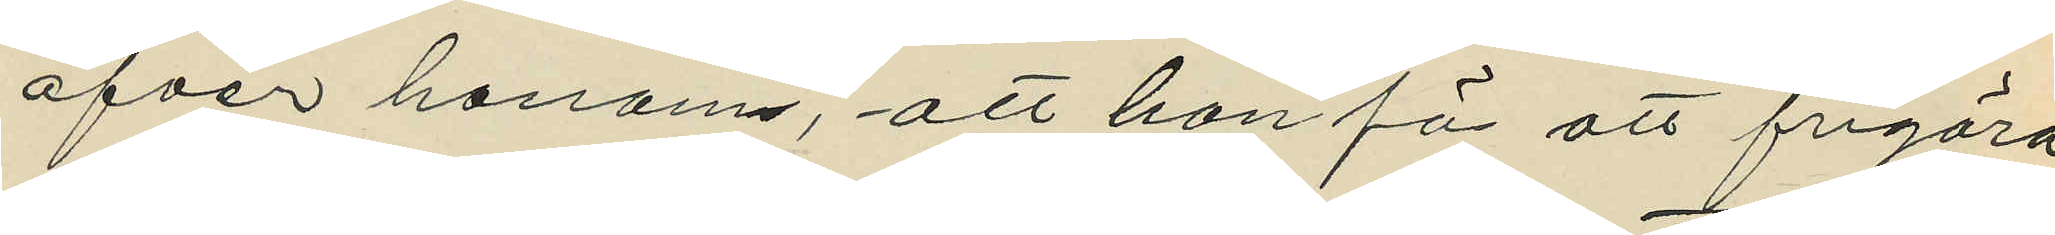öfver honom, att han för att frigöra
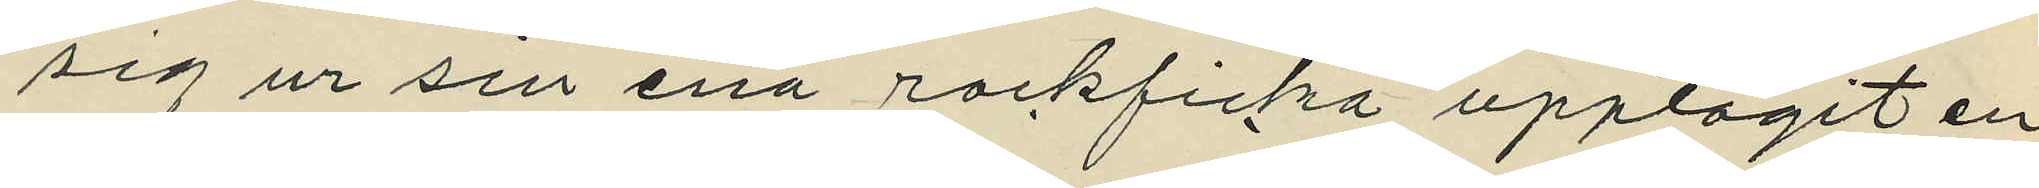sig ur sin ena rockficka upptagit en
